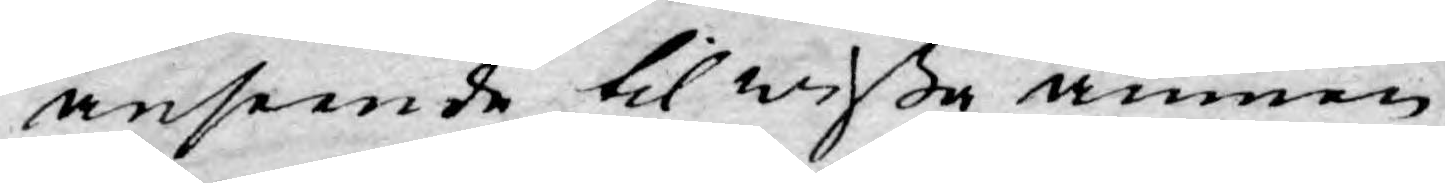anseende til wißa ämnen
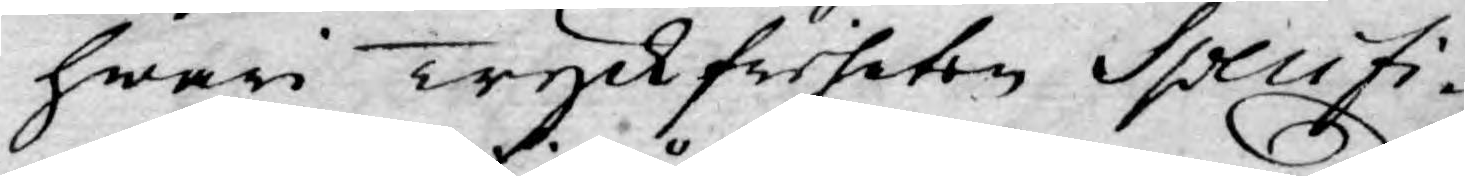hwari Tyckfriheten Specifi¬
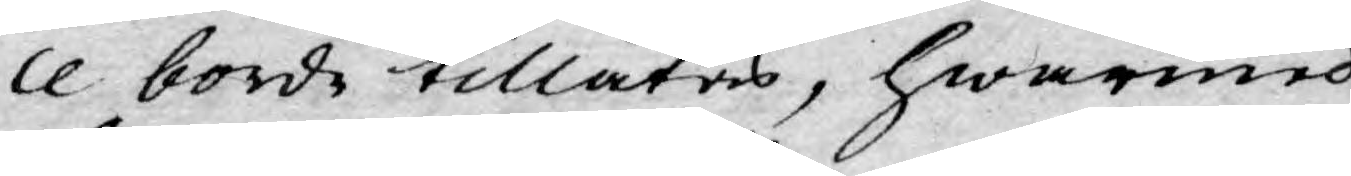ce borde tillåtas, hwarmed
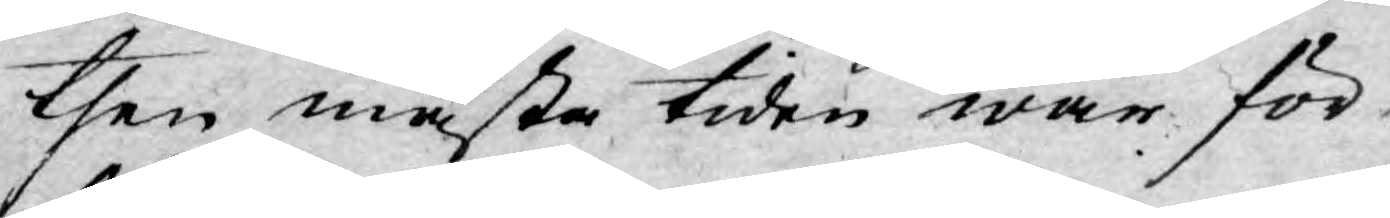then mästa tiden war för¬
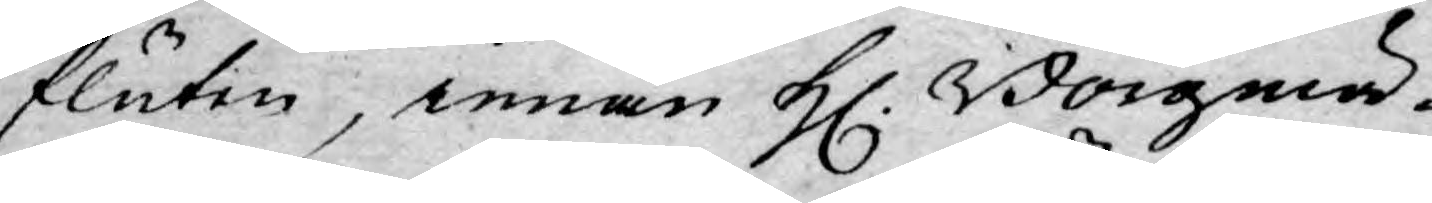fluten, innan H. Borgmä-
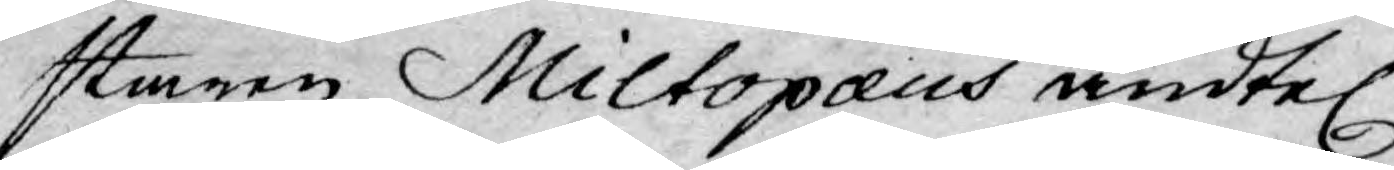staren Miltopæus ändtel.
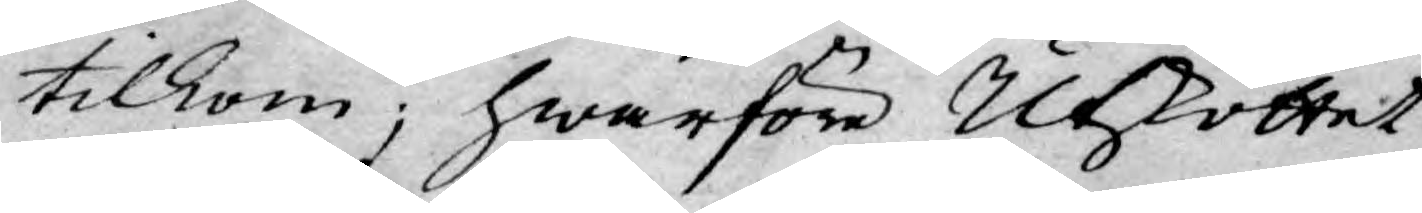tilkom; hwarföre Utskottet
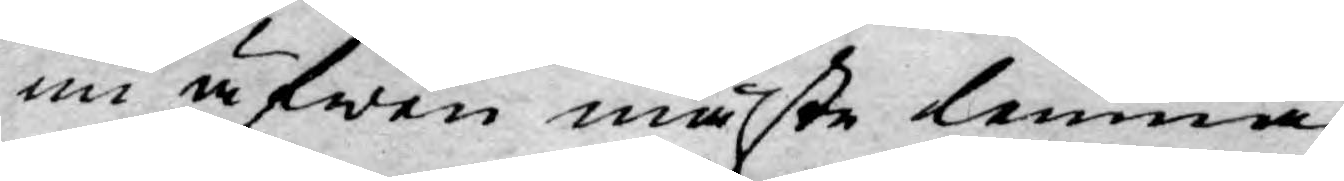nu äfwen måste lemna
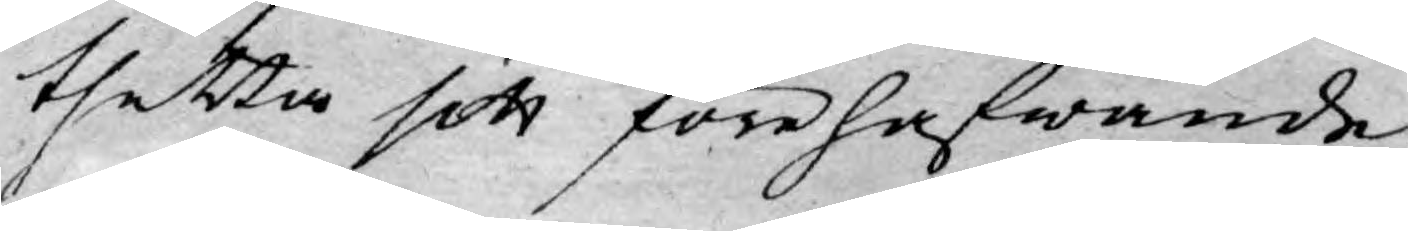thetta sitt förehafwande,
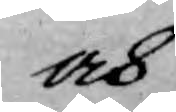och
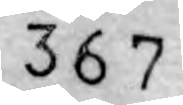367
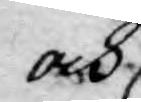och 
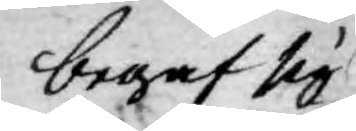begaf sig
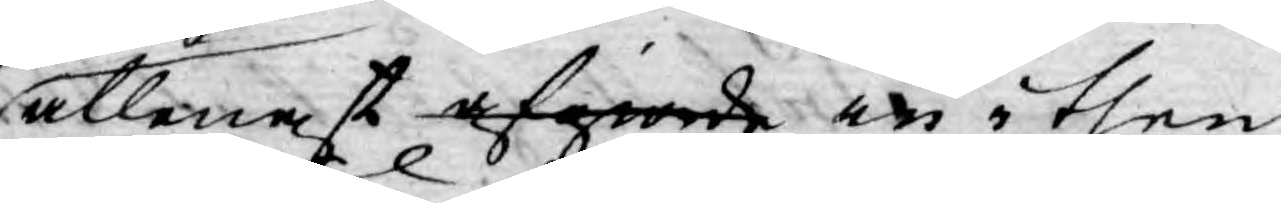allenast afgiorde in i then
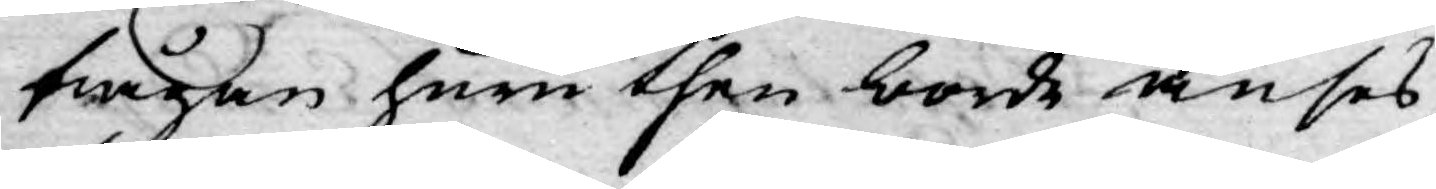frågan huru then borde anses,
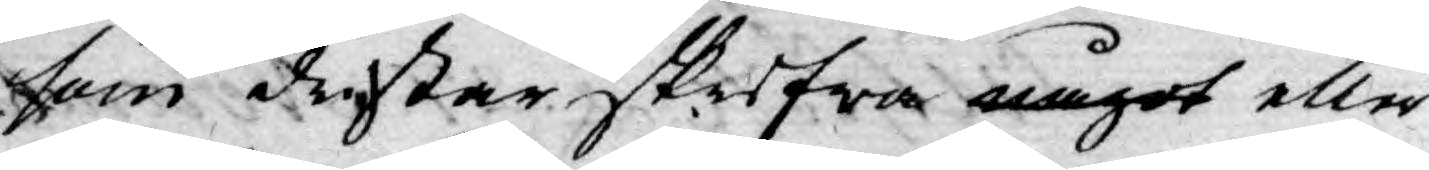som dristar skrifwa något eller
